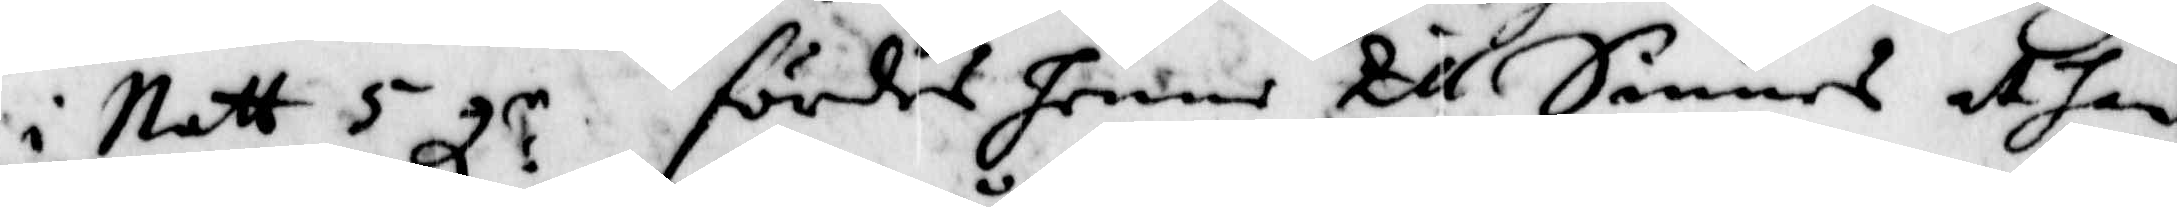i natt 5 gl:r fördes henne till Sinnes at han
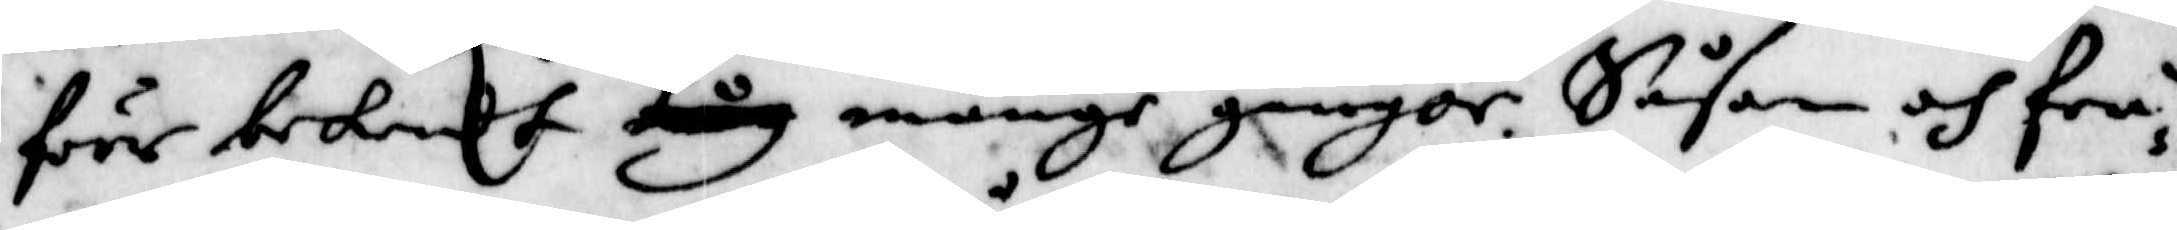föör bekendt måg månge gånger. Såsom och frå¬
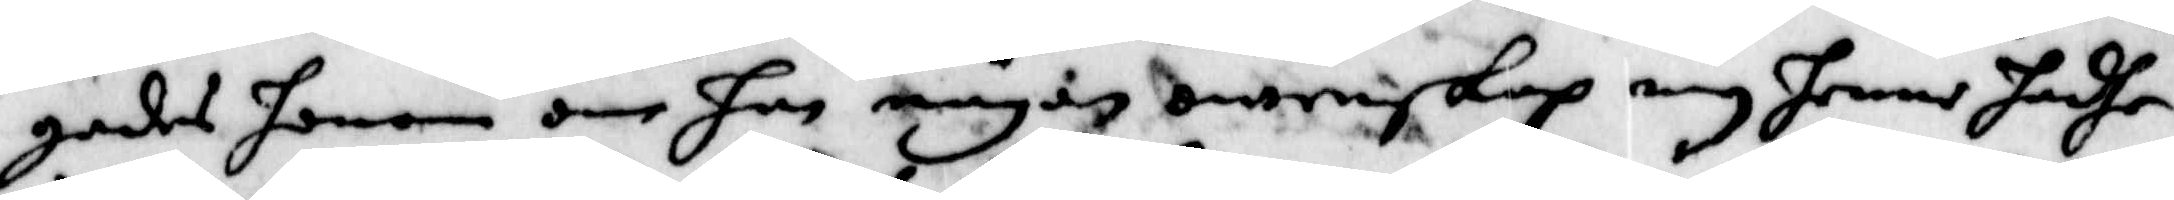gades honom om han någon owenskap om henne hadhe
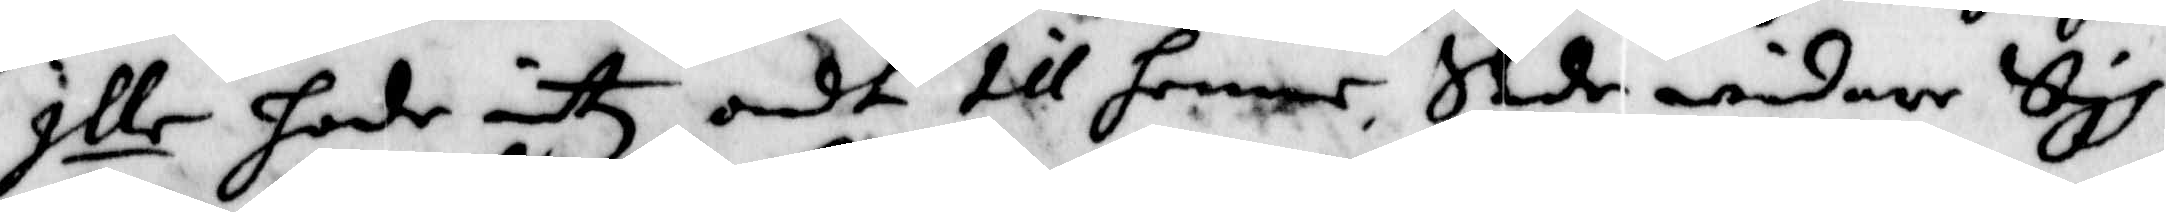Ille hade intz ondt till hennen, Sade widare Sigh
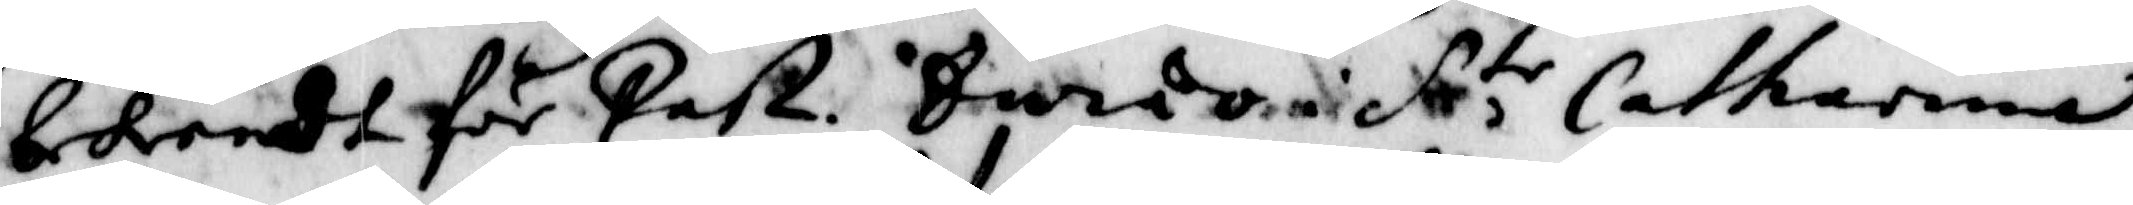bekendt för Past. Sweio fr,te Catharina.
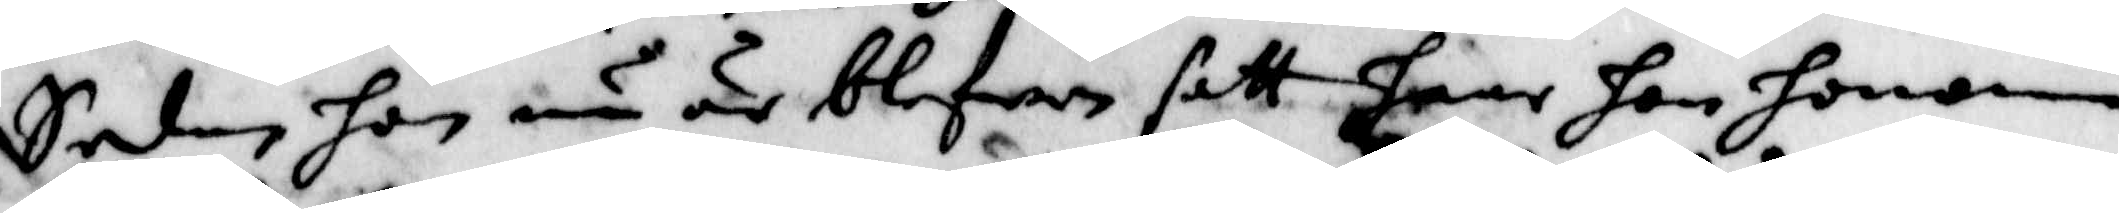Sedan hon nu är blefven satt haar hon honom
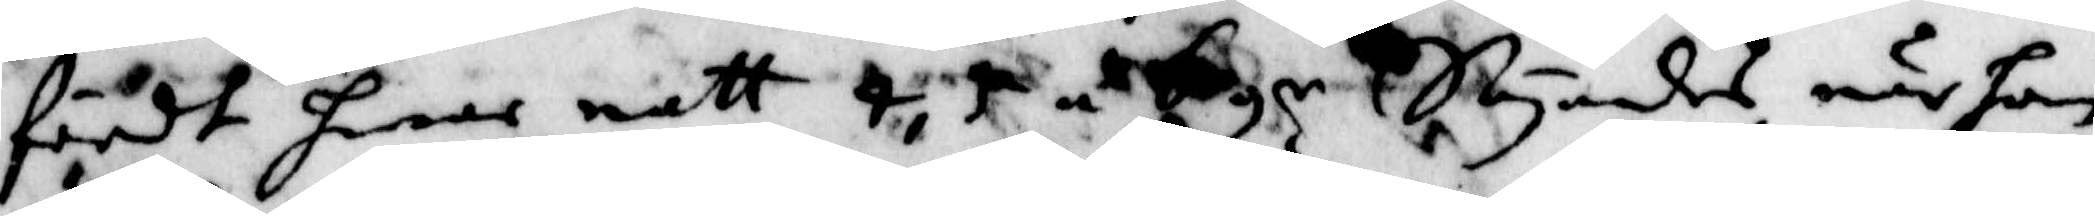fördt hwar natt 4, 5 á 6 gr Säyandes när hon
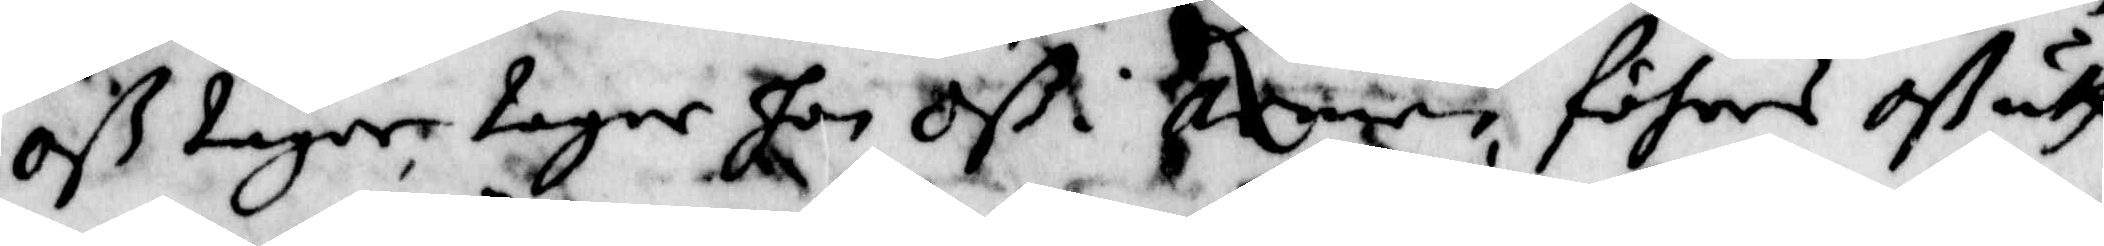oß tager tager hon oß nen föhres oß uth
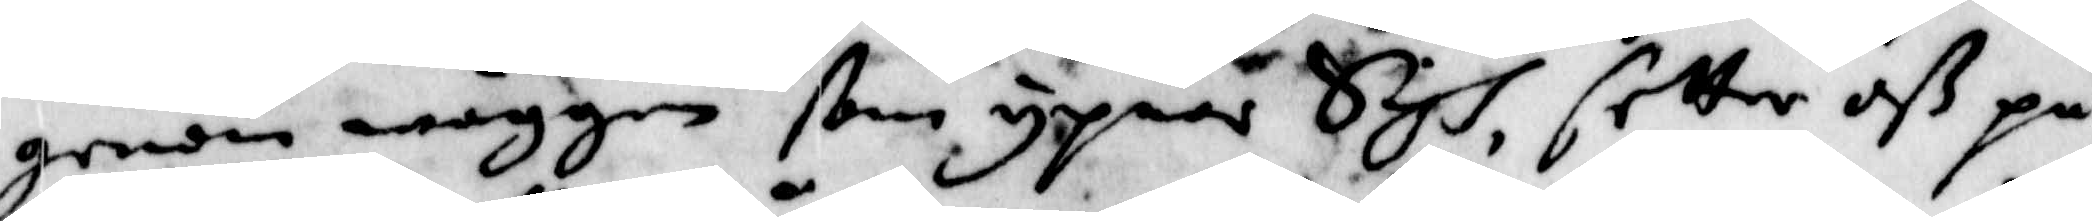genom wäggen ßom yppnar Sigh, setter oß på
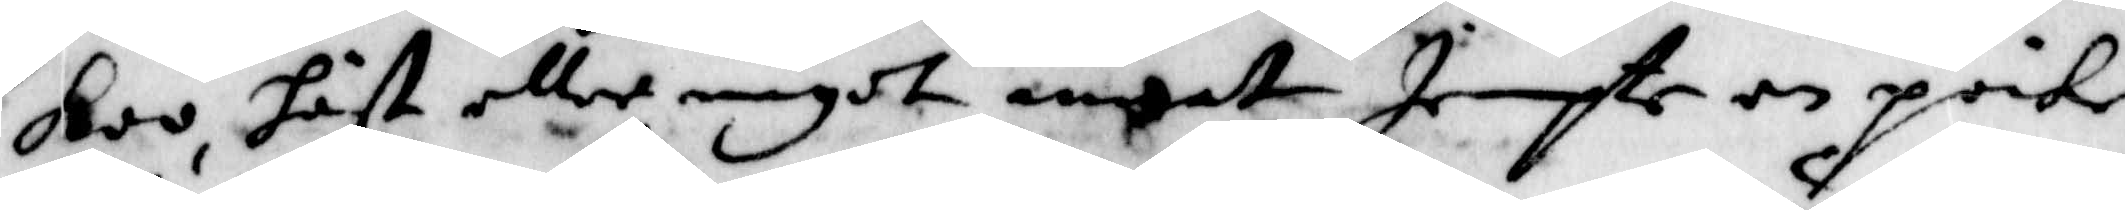Koo, häst eller något annat Jempte en poike
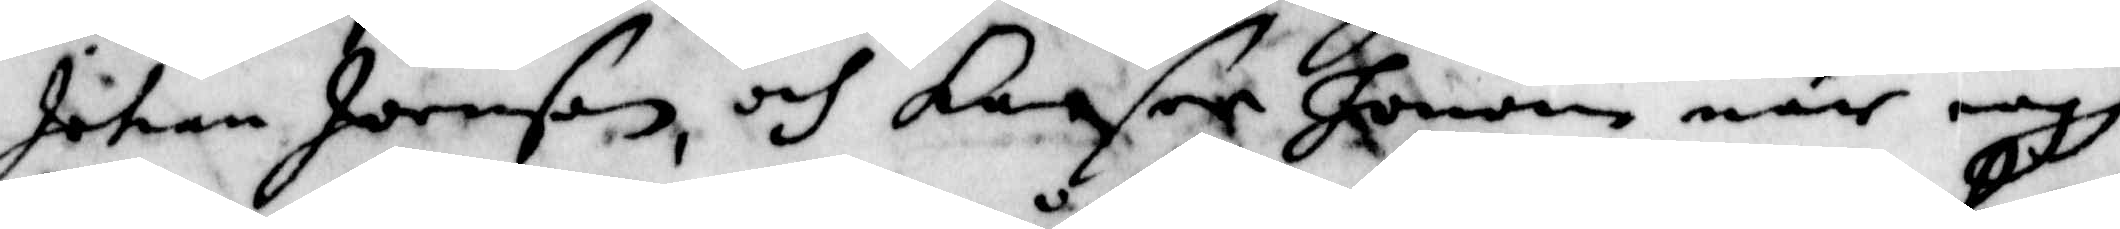Johan Joenson, och kaaser honom när iagh
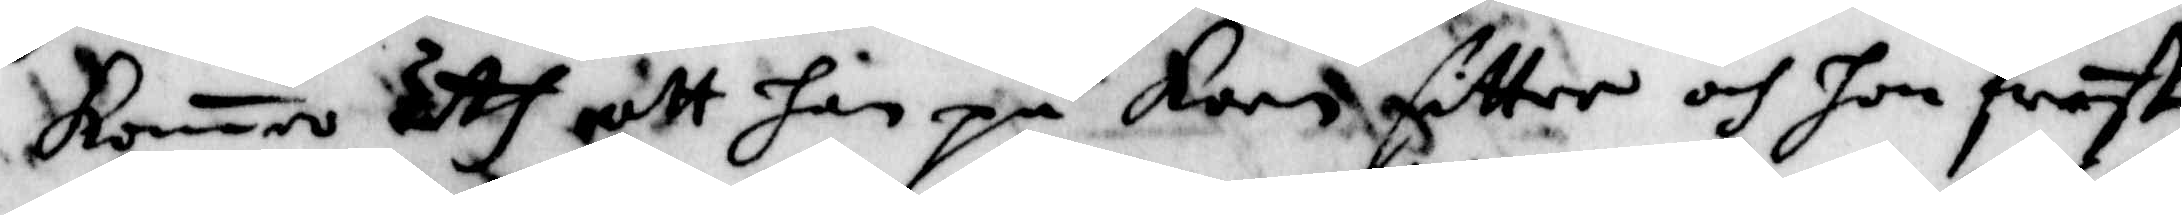komer uth att han på koon sitter och hon fräste
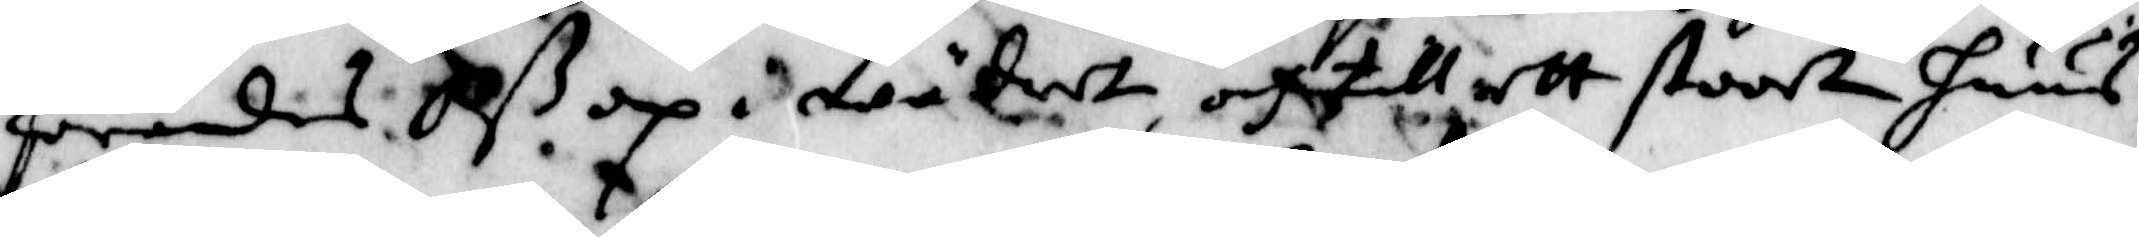förandes oß op i wädret, och till ett stoort huus.
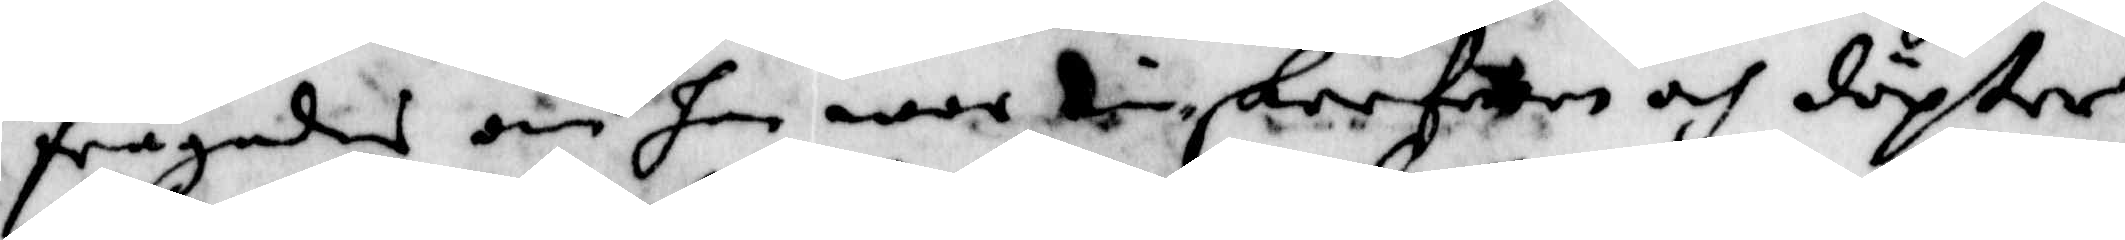frågandes om han war skrefwen och döpter
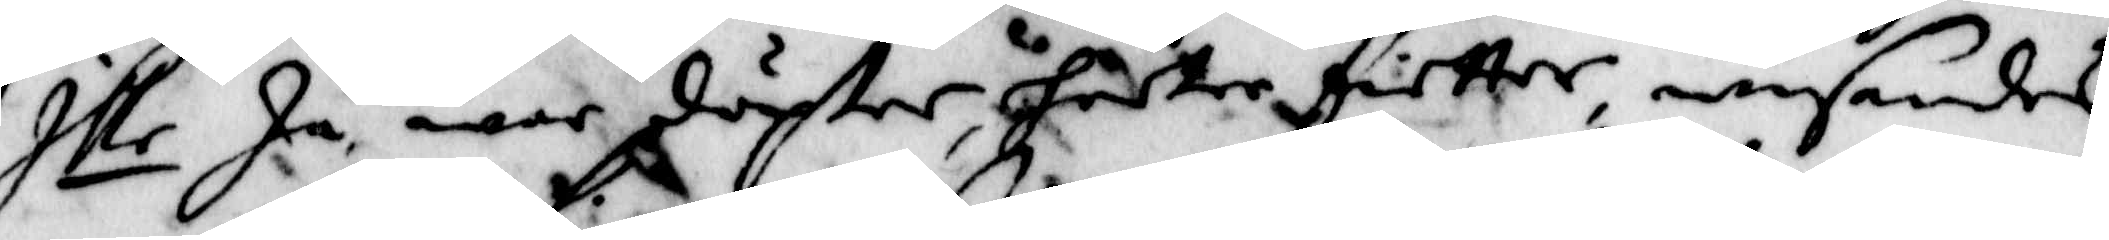Ille ja, war döpter hetter fietter, wisandes
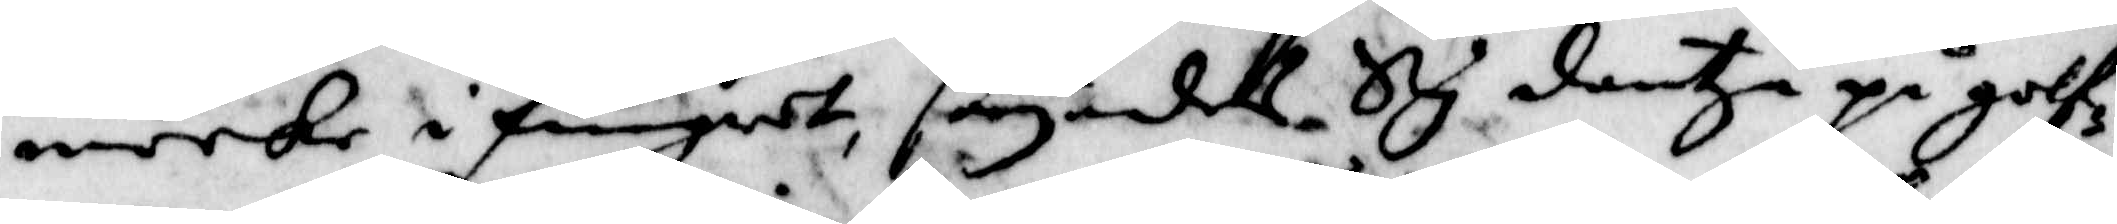merke i fingret, säyandes Sig dantza på golf¬
